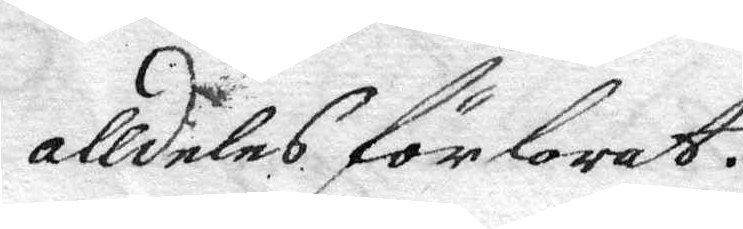alldeles förlorat.
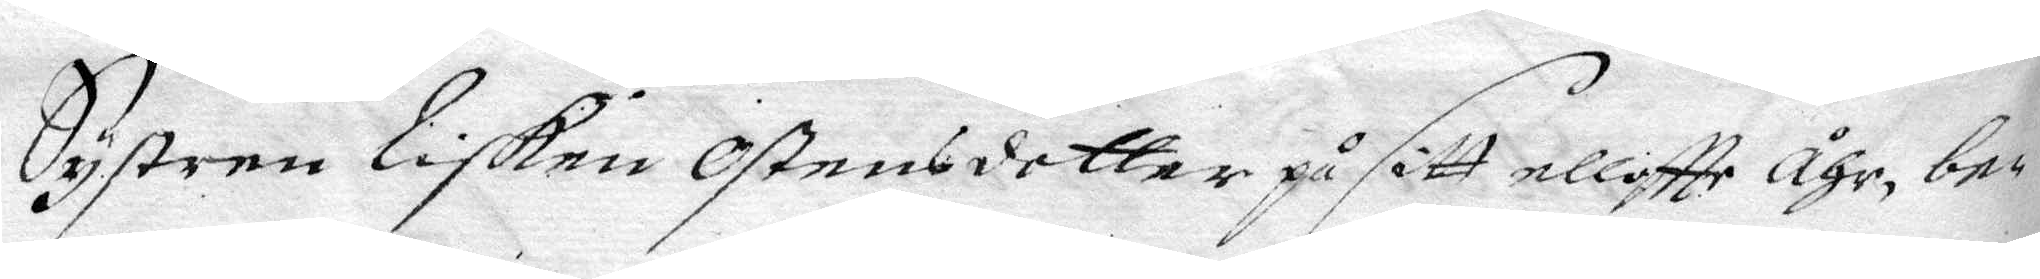Systren Lisken Ostensdotter på sitt elliftte åhr, be¬
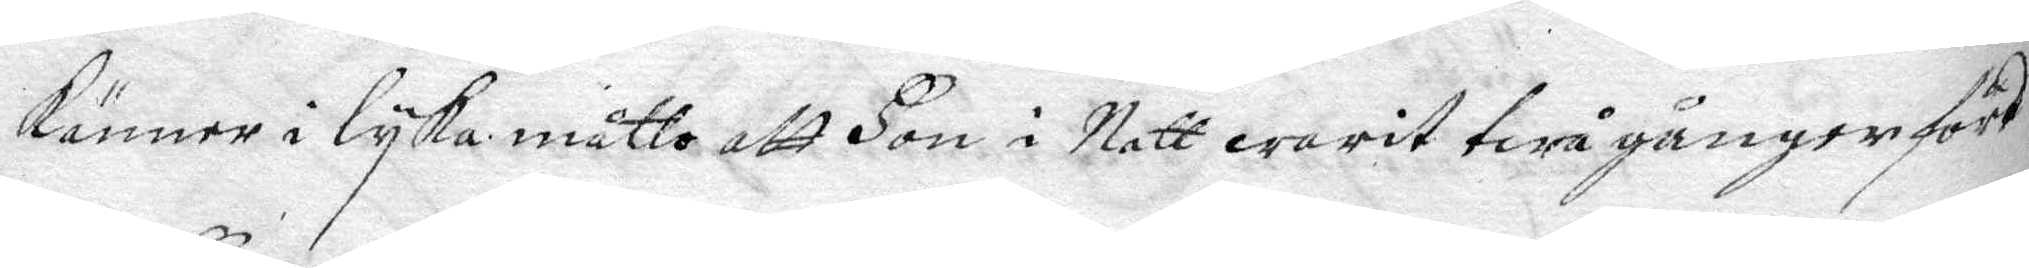känner i lyka måtto att Hon i Natt warit twå gånger förd
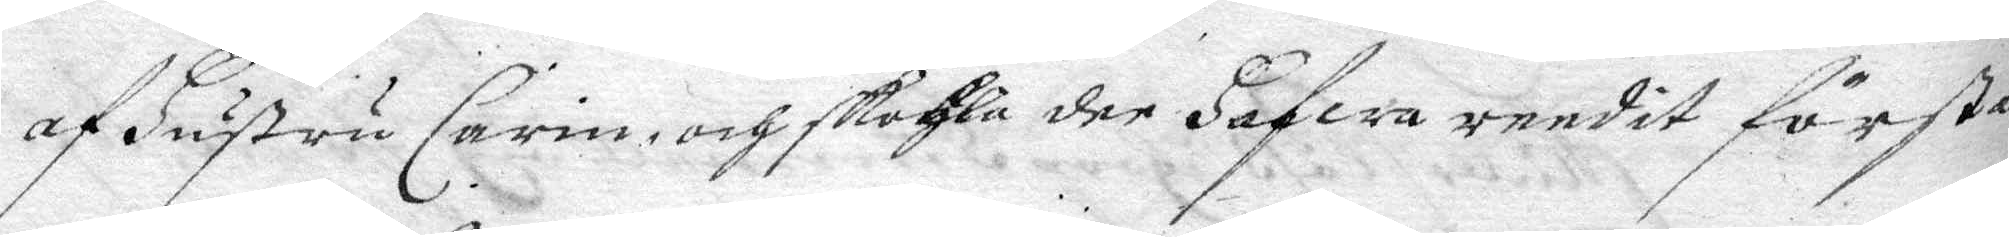af Hustru Carin och skohla der Hafwa reedit första
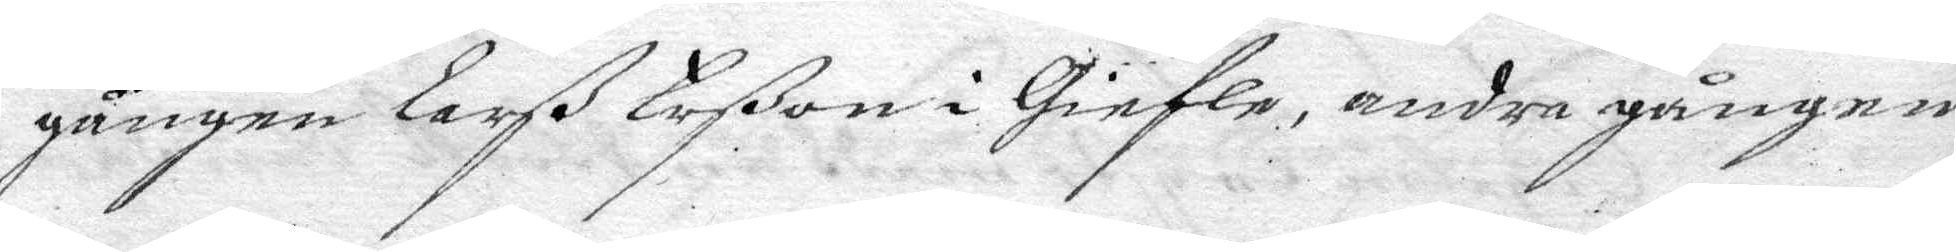gången Larß Larßon i Giefle, andra gången
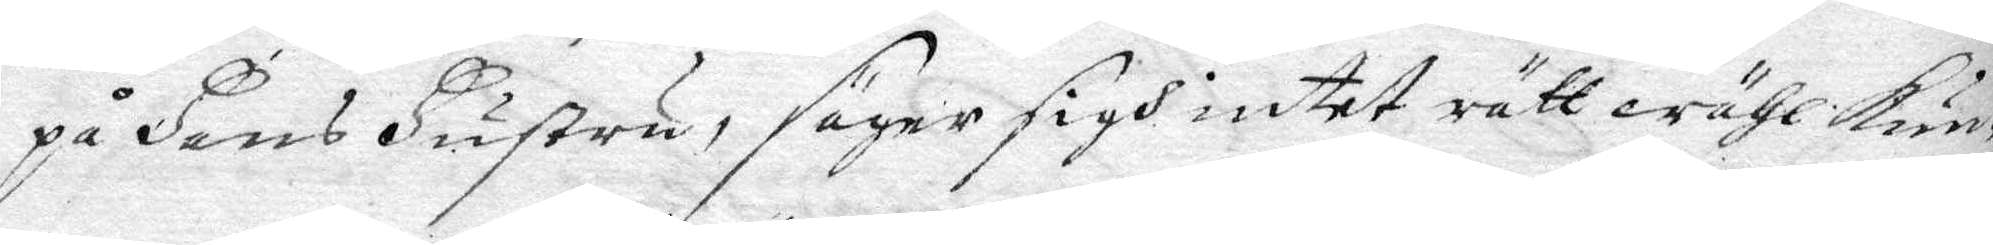på Hans Hustru, säyer sigh intet rätt wähl kun¬
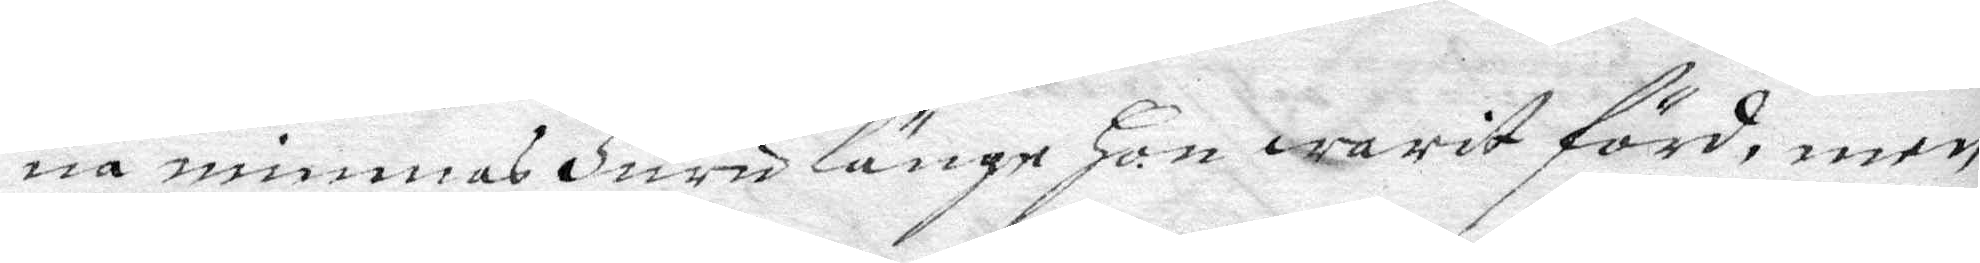na minnas Huru länge Hon warit förd, men
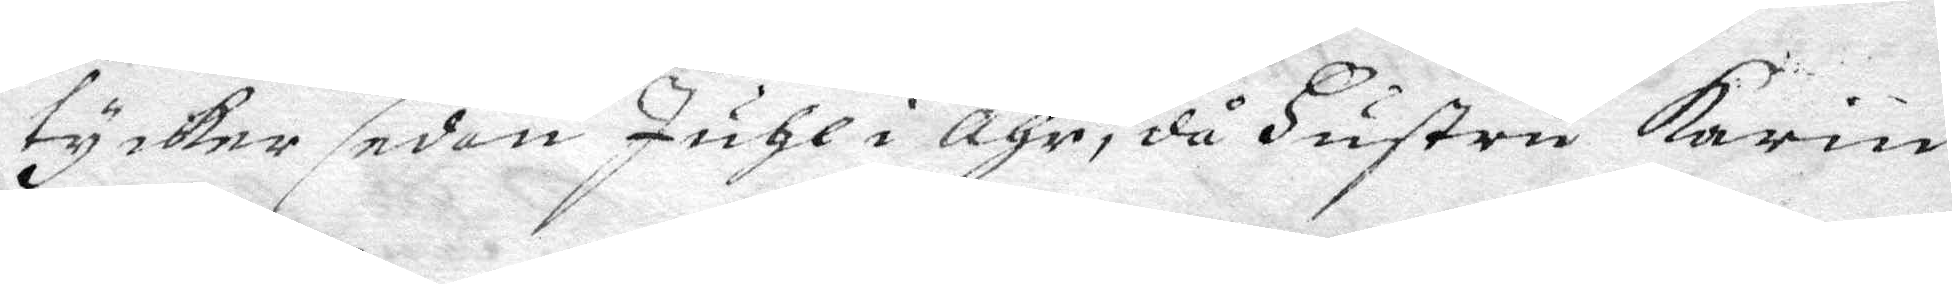tycker sedan Juhl i åhr, då Hustru Karin
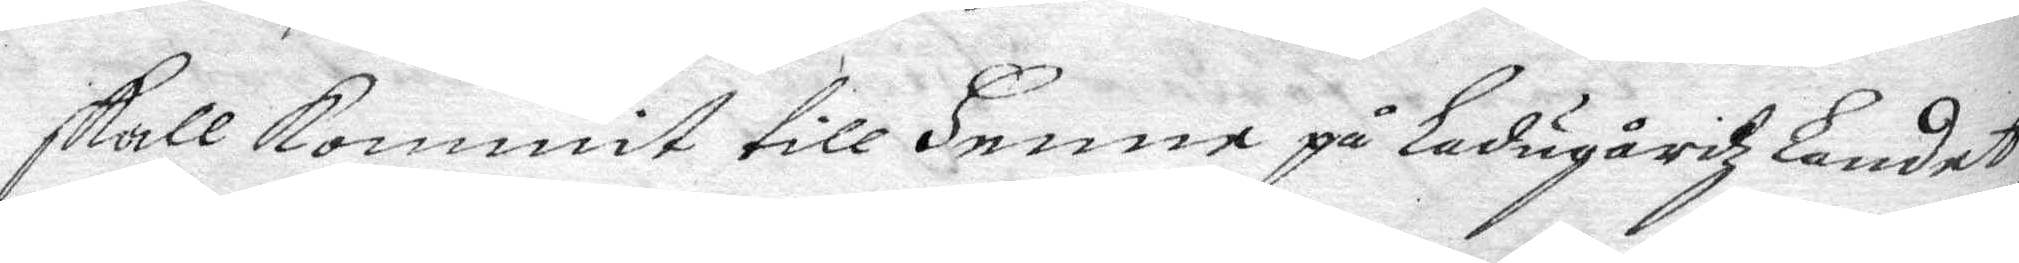skall kommit till Henne på Ladugårdz Landet,
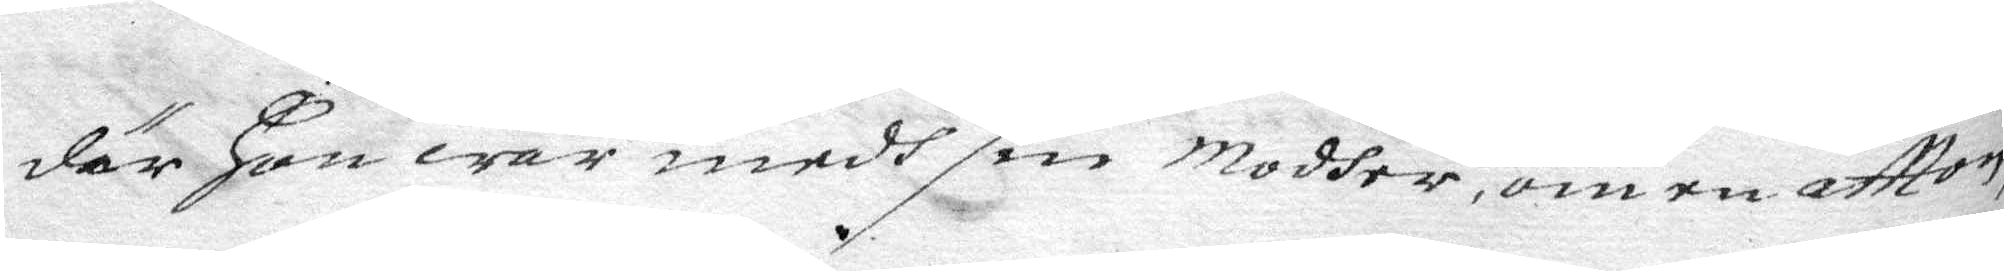där Hon war medh son modher, om en aftton
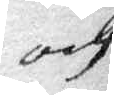och
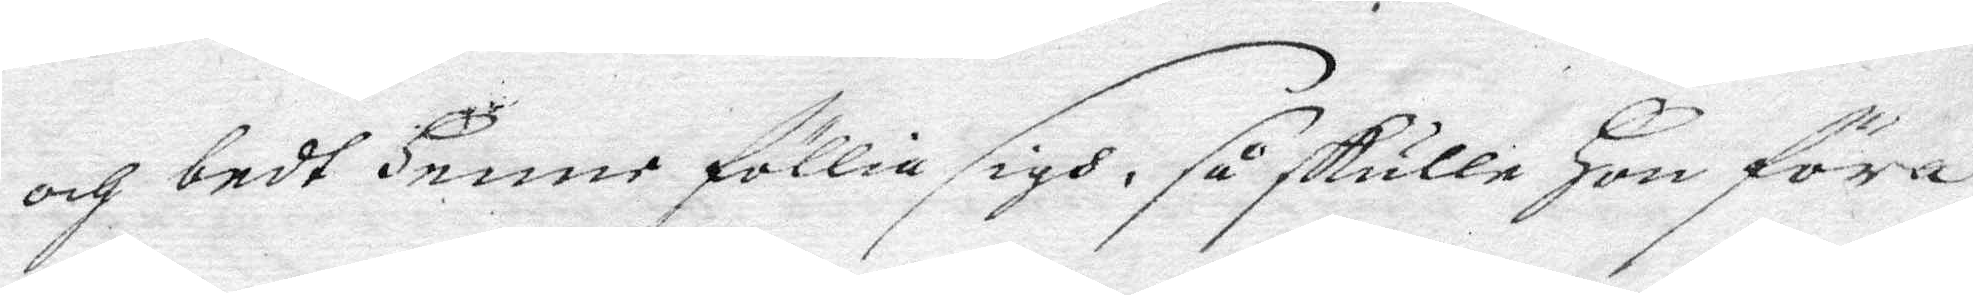och bedt Henne föllia sigh, så skulle Hon föra
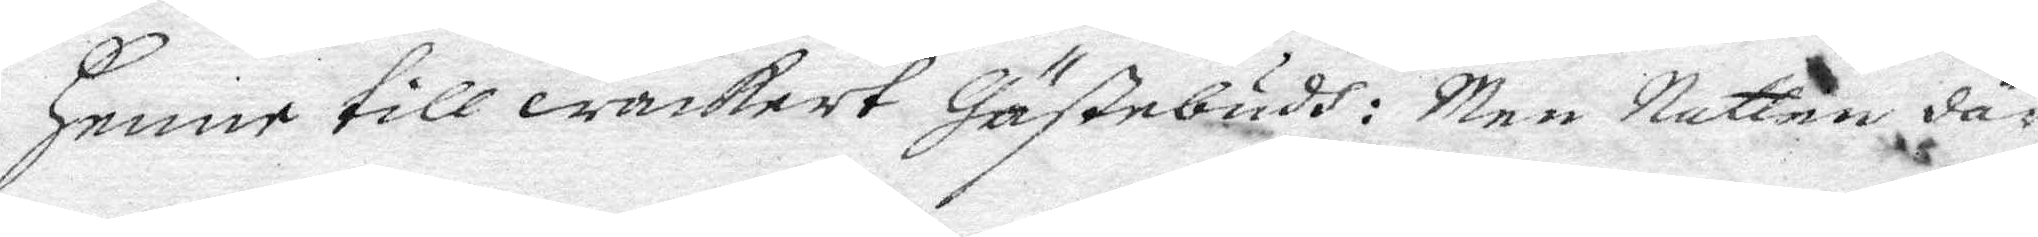Henne till wackert Gästebudh: Men Natten där
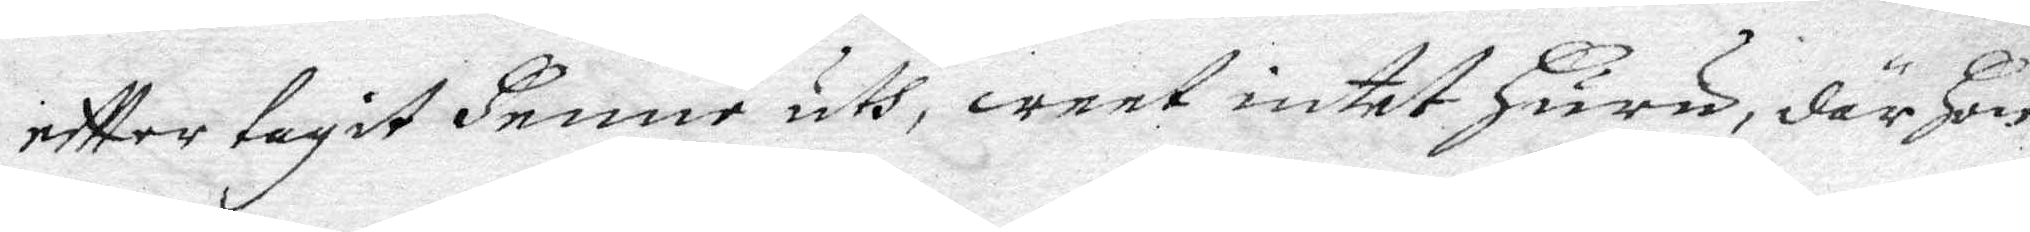eftter tagit Henne uth, weet intet Huru, där Hon
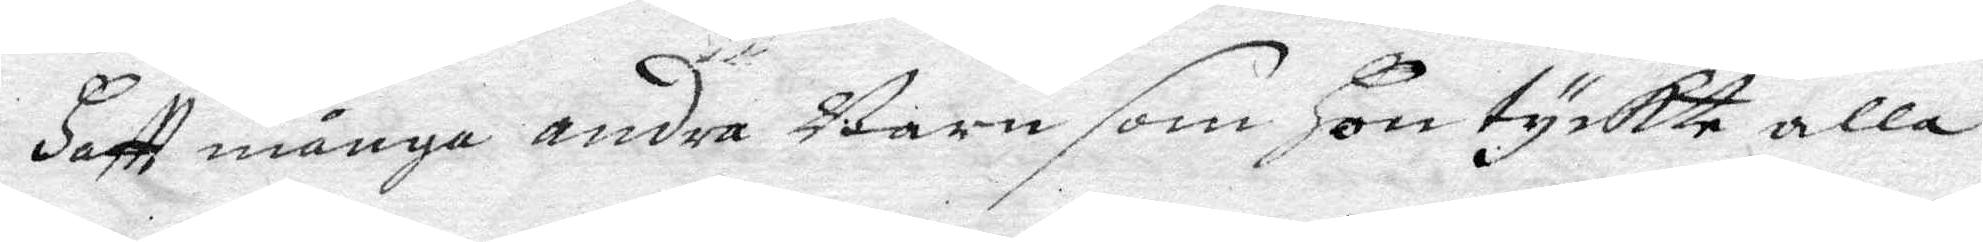Haftt många andra Barn som Hon tyckte alla
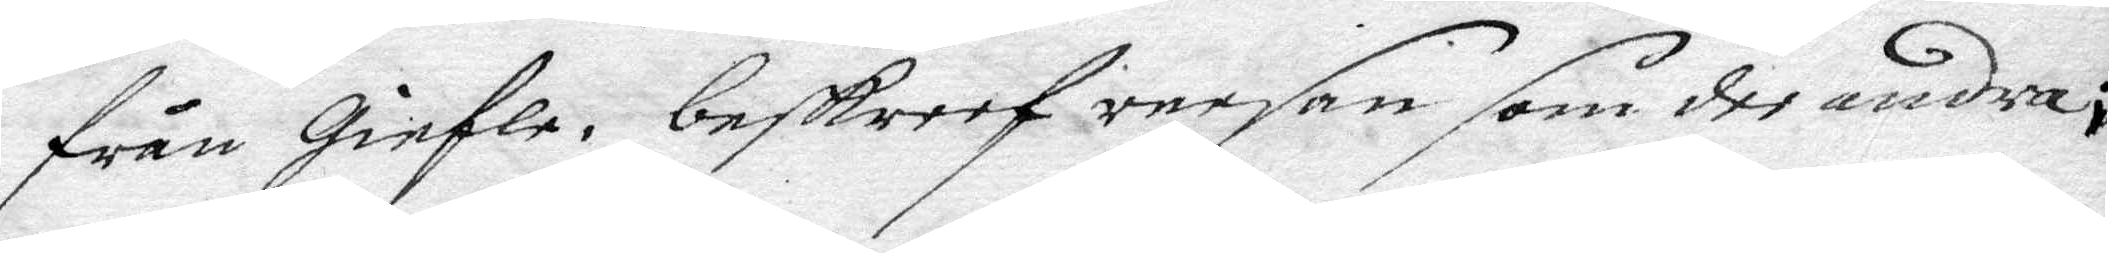från Giefle, beskreef reesan som dee andra;
